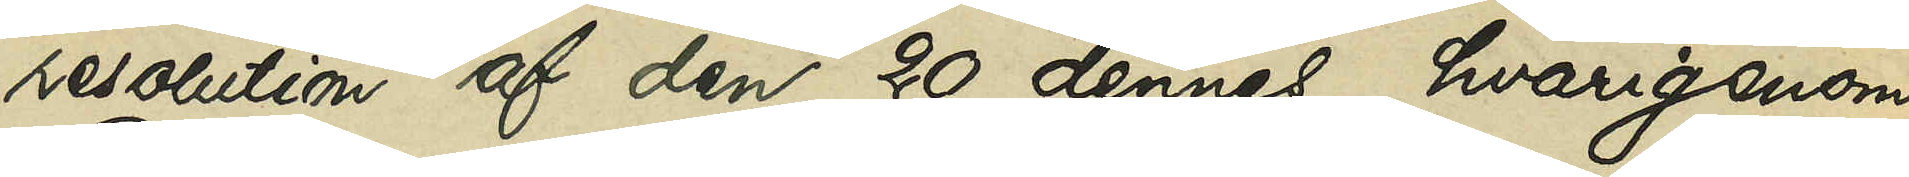resolution af den 20 dennes, hvarigenom
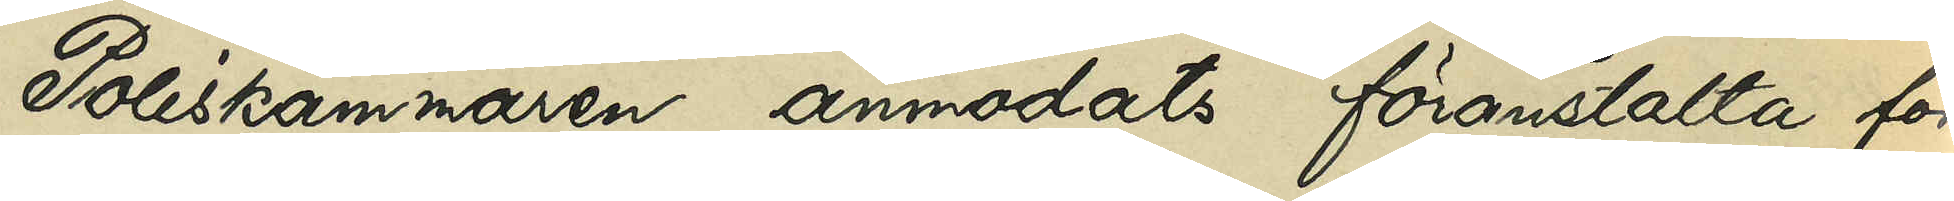Poliskammaren anmodats föranstalta för¬
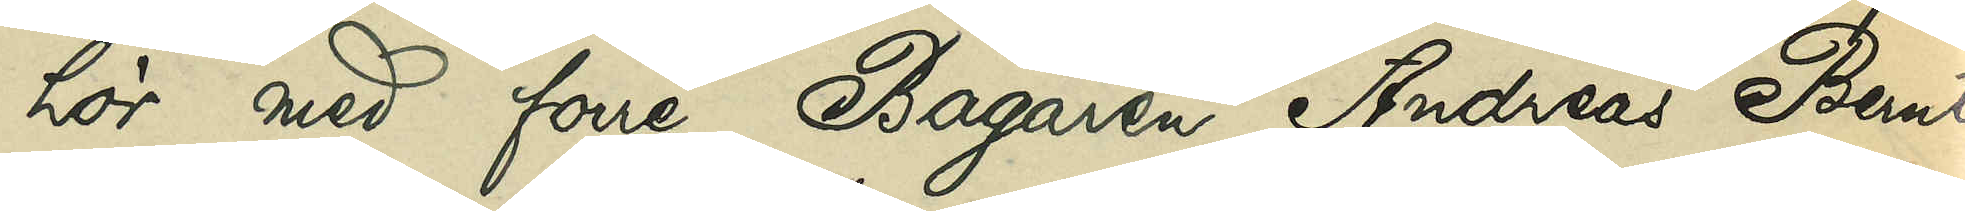hör med förre Bagaren Andreas Bernt¬
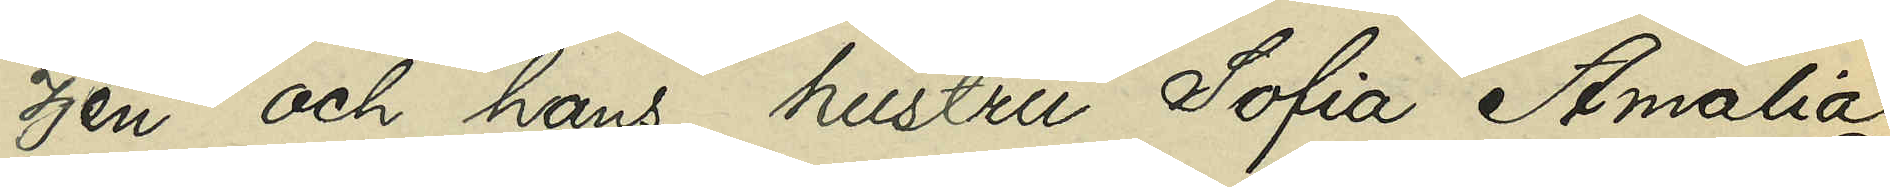zén och hans hustru Sofia Amalia
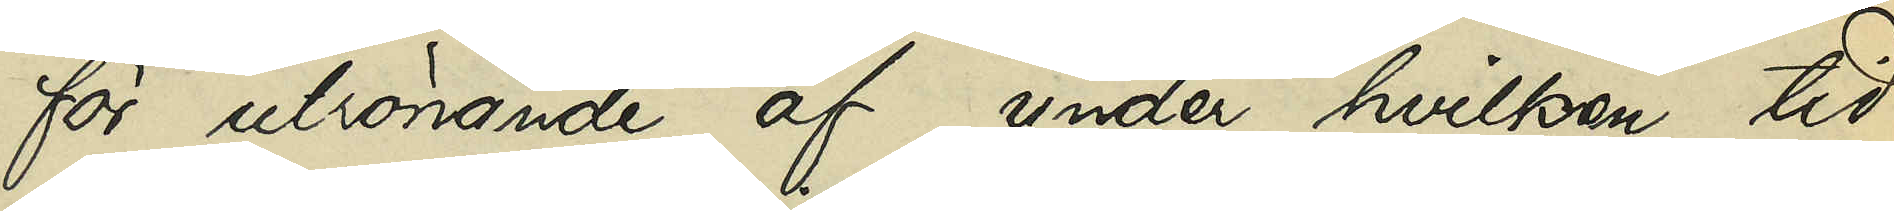för utrönande af hvilken tid
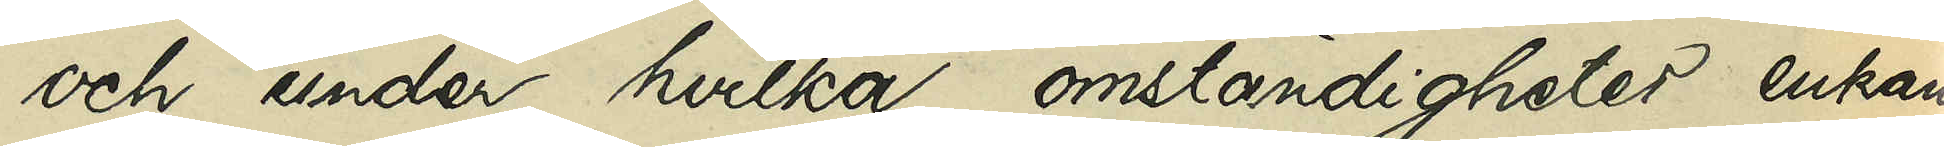och under hvilka omständigheter enkan
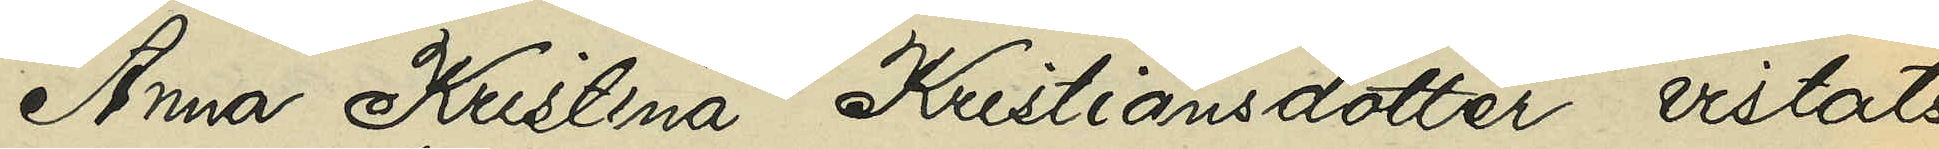Anna Kristina Kristiansdotter vistats
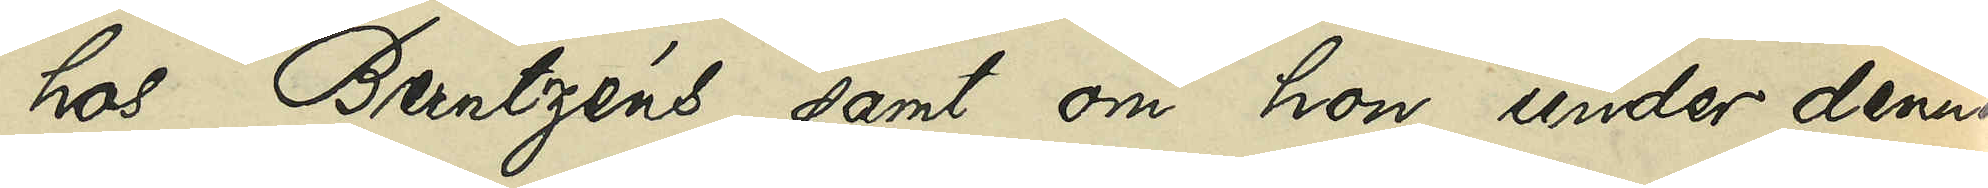hos Berntzéns samt om hon under denna
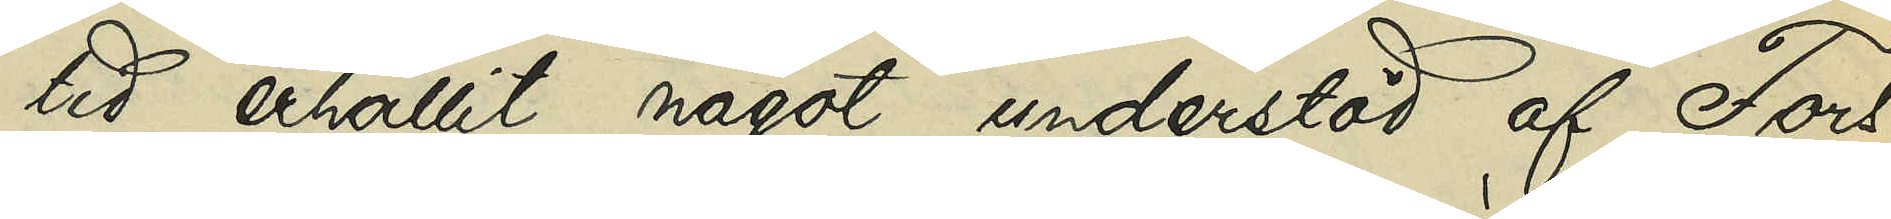tid erhållit något understöd af Fors¬
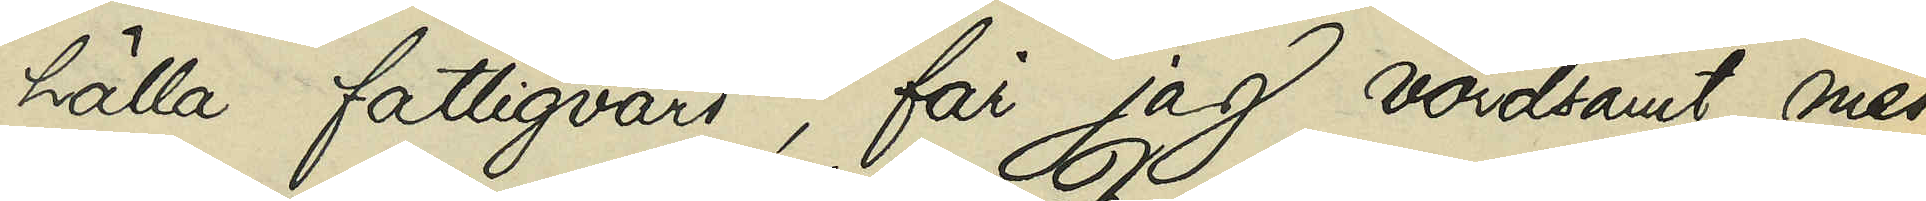hälla fattigvård, får jag vördsamt med¬
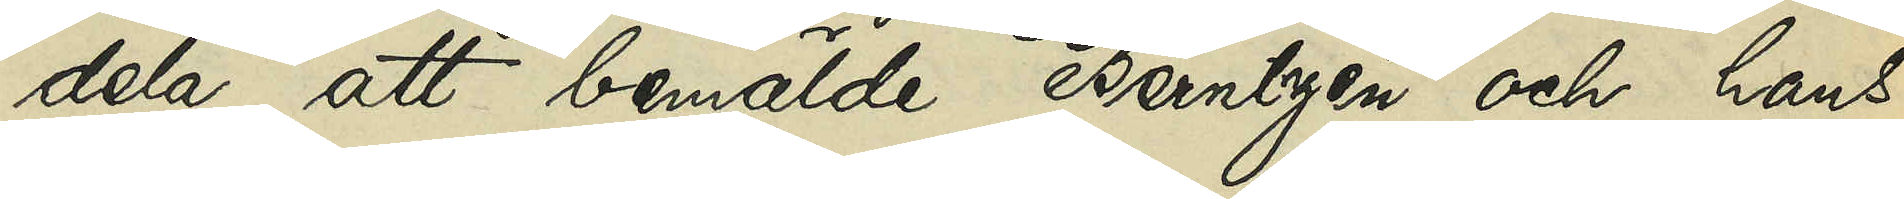dela, att bemälda Berntzén och hans
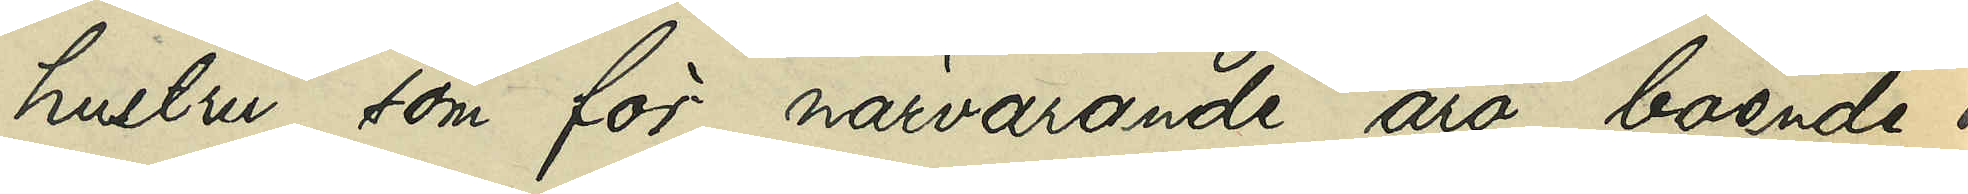hustru, som för närvarande äro boende i
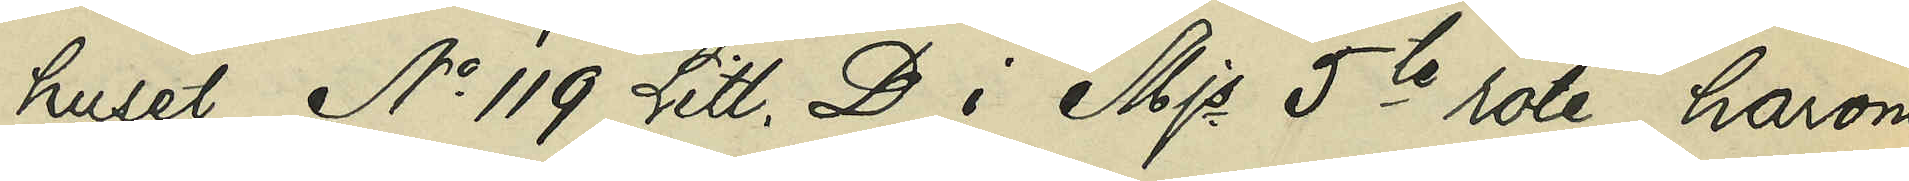huset No 119 Litt. D i Mjs 5te rote, härom
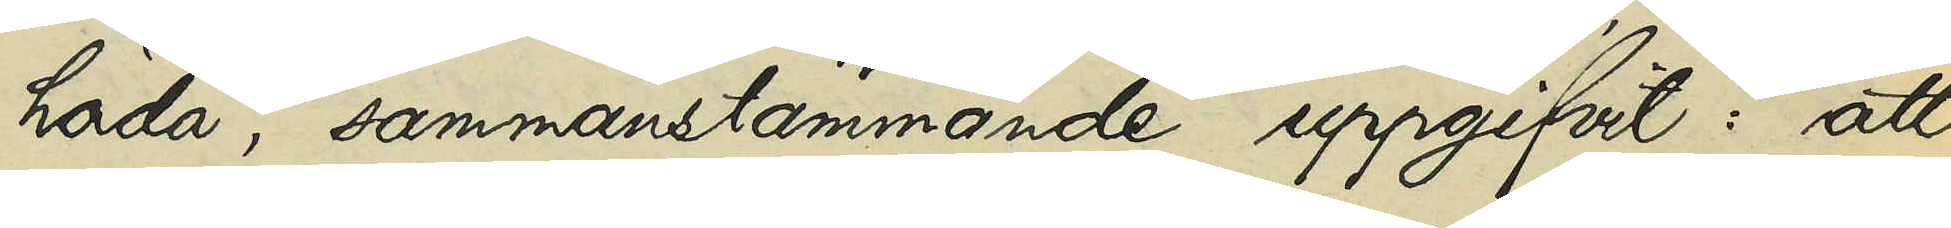höda, sammanstämmande uppgifvit: att
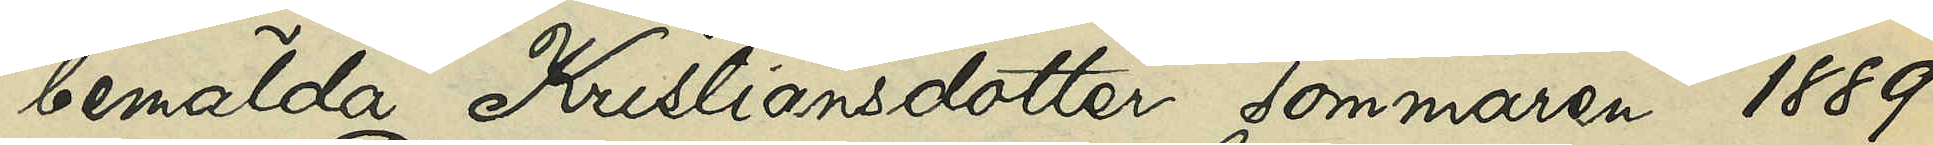bemälda Kristiansdotter sommaren 1889
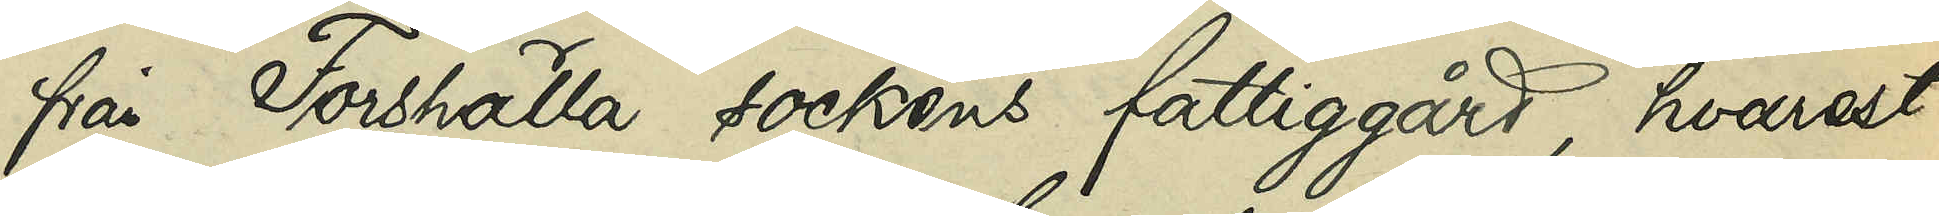från Forshälla sockens fattiggård, hvarest
